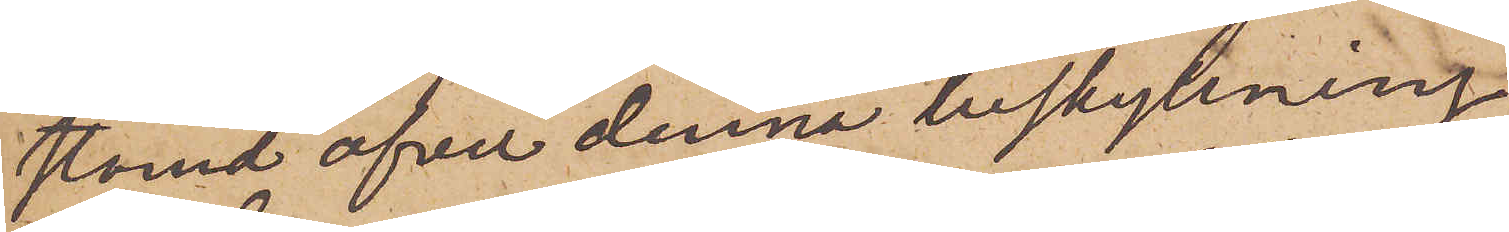stämd öfver denna beskyllning,
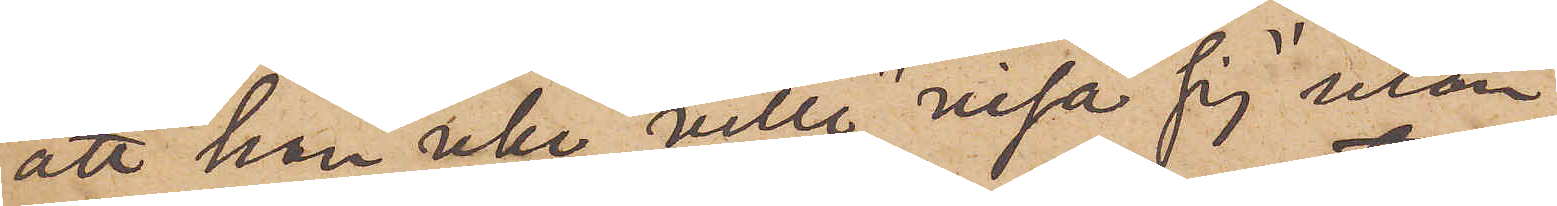att han icke ville "visa sig" utan
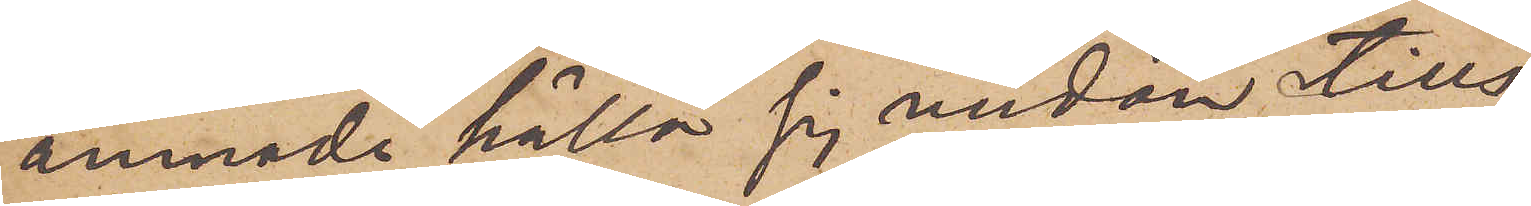ämnade hålla sig undan tills
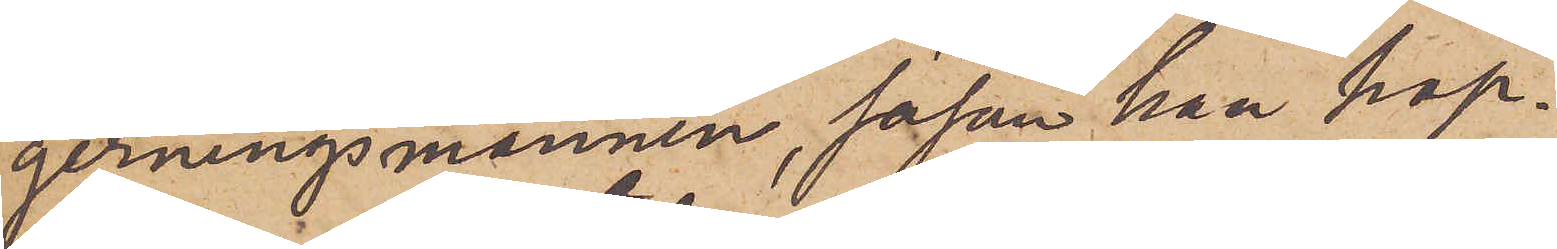gerningsmannen, såsom han hop¬
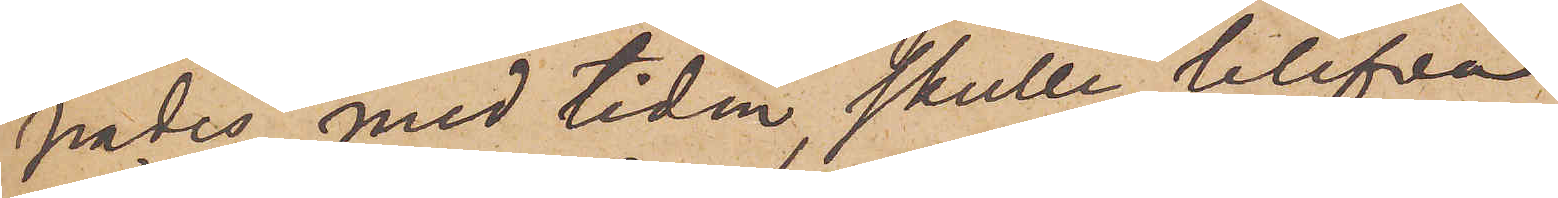pades, med tiden skulle blifva
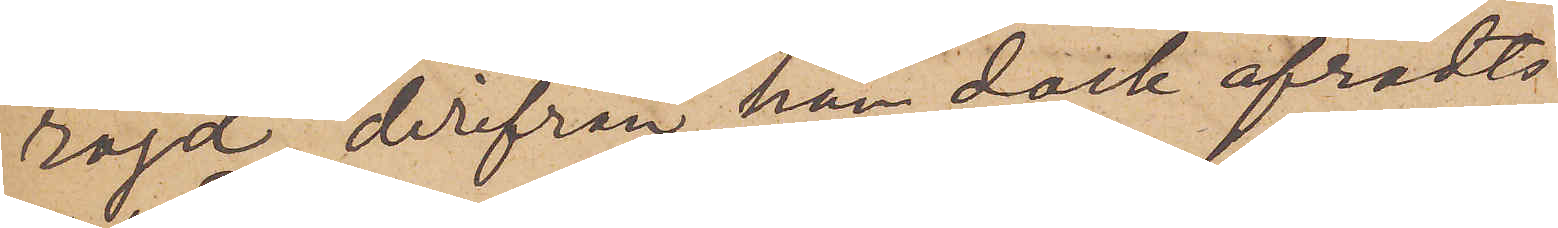röjd, derifrån han dock afrådts
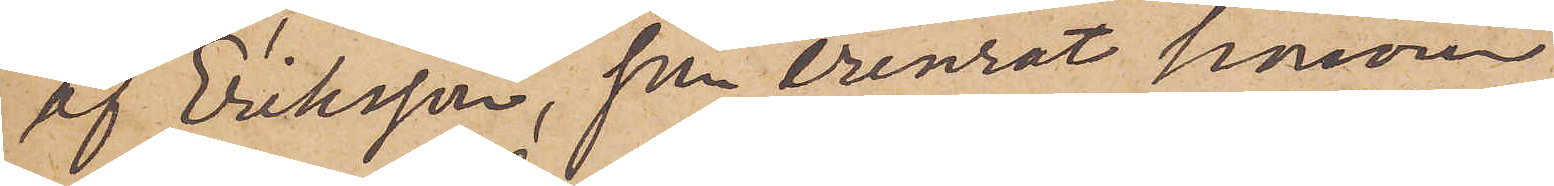af Eriksson, som erinrat honom
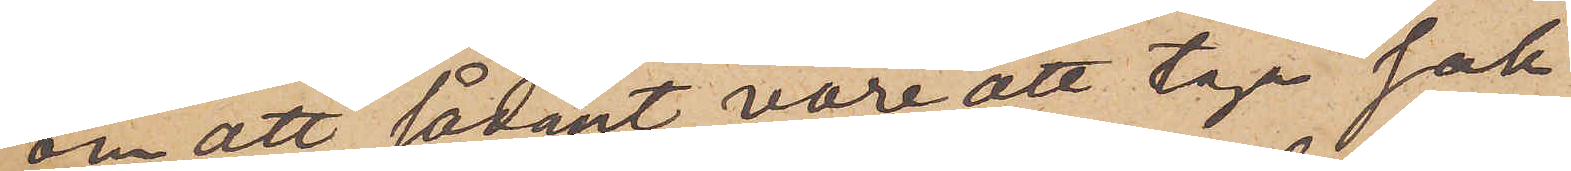om att sådant vore att taga "sak
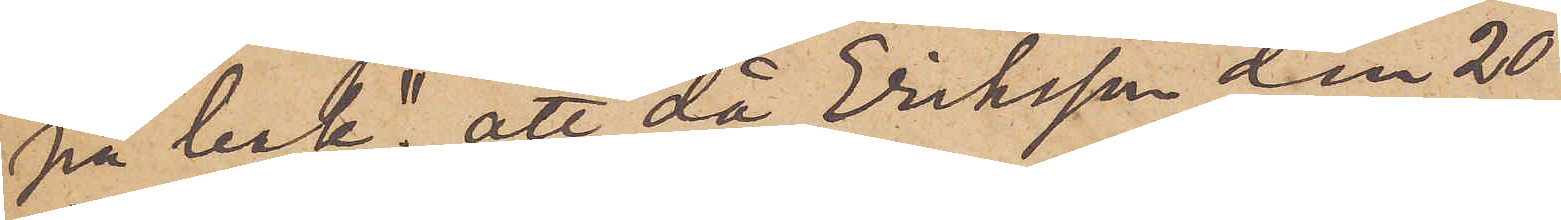på bak"; att då Eriksson den 20
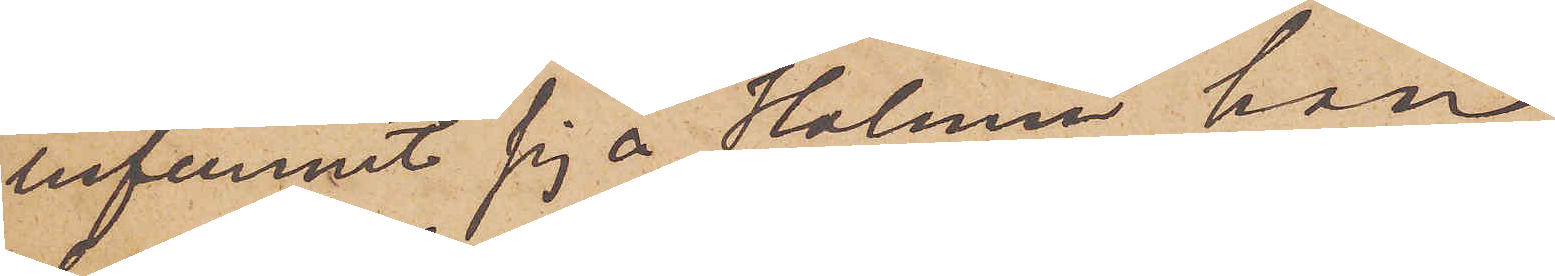infunnit sig å Holmen, han
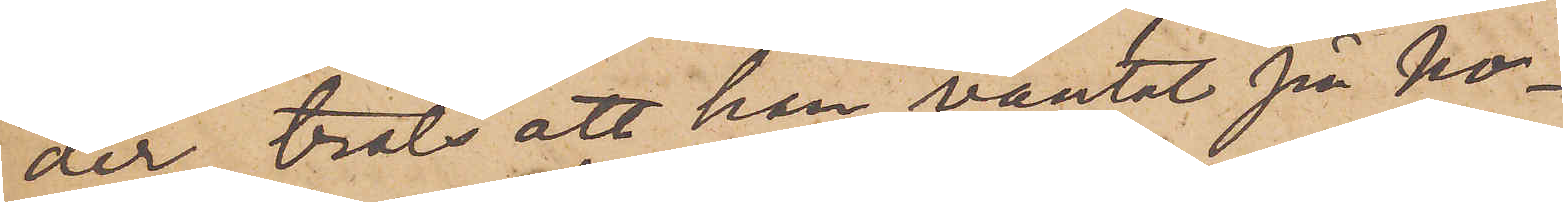der, trots att han väntat på ho¬
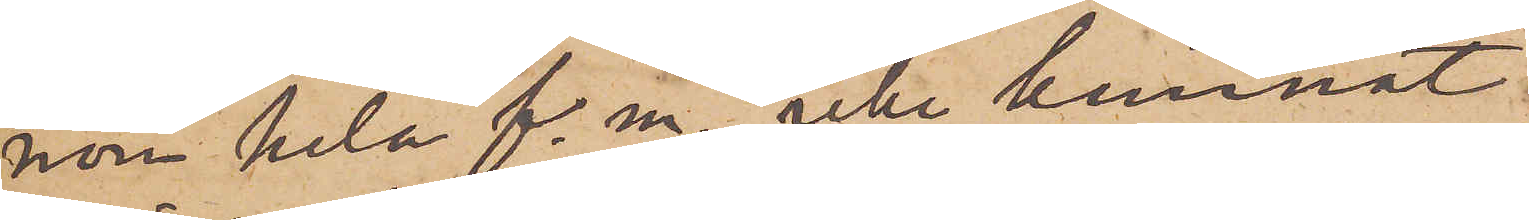nom hela f. m., icke kunnat
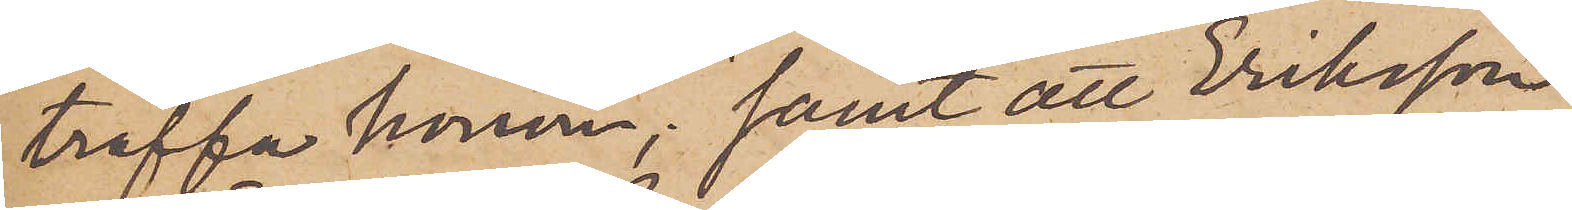träffa honom; samt att Eriksson
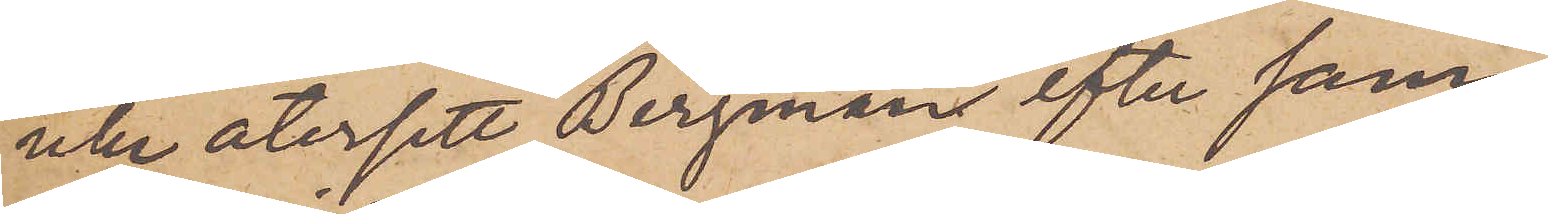icke återsett Bergman efter sam¬
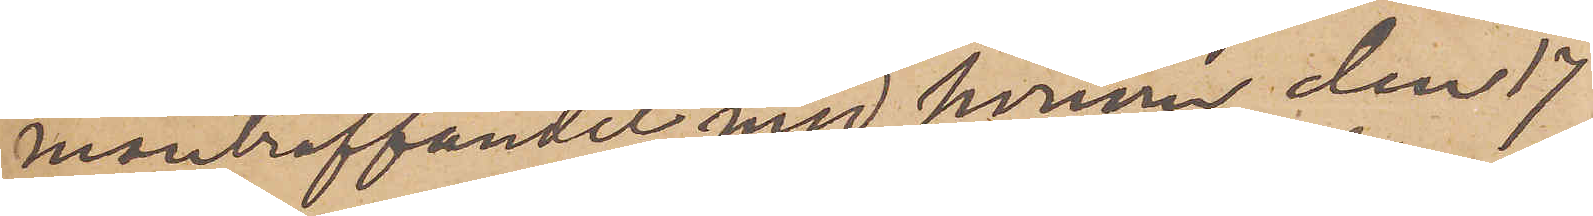manträffandet med honom den 17
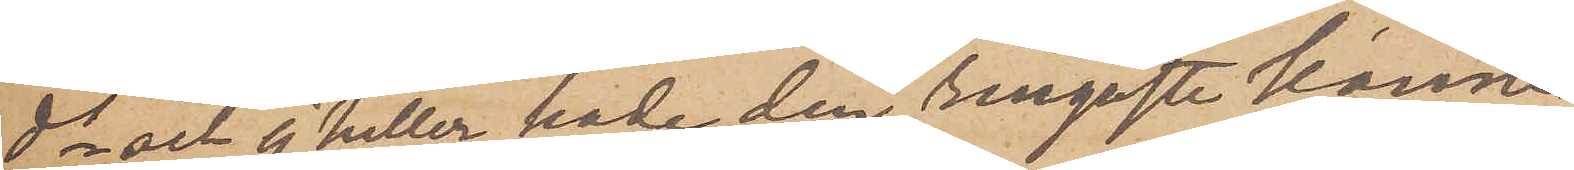ds och ej heller hade den ringaste känne¬
